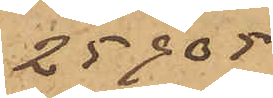25905
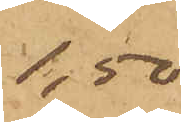1,50
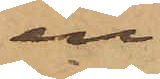en do
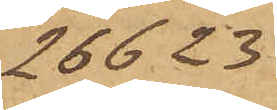26623
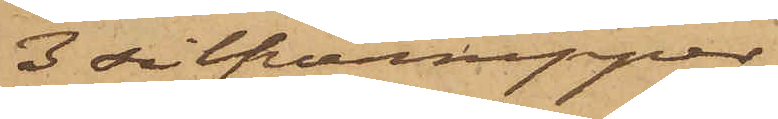3 silfvernipper
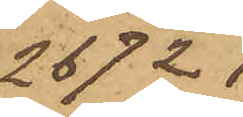26721 
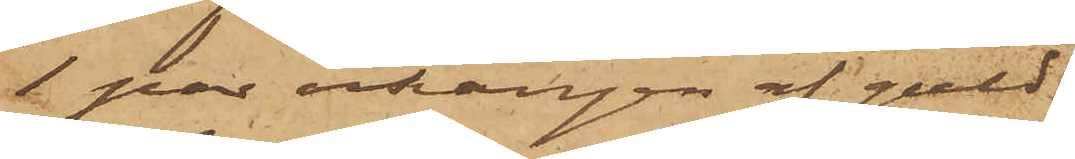1 par örhängen af guld
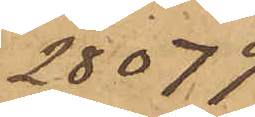28079
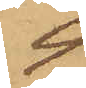4
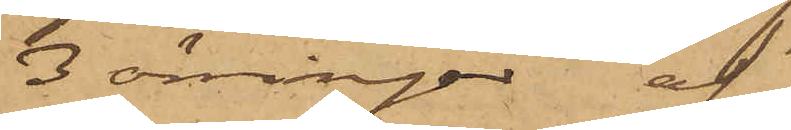3 örringar af do
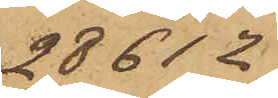28612
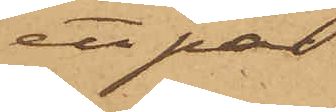ett par do do
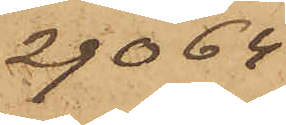29064
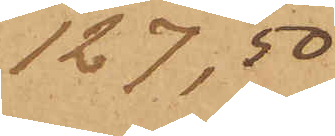127,50
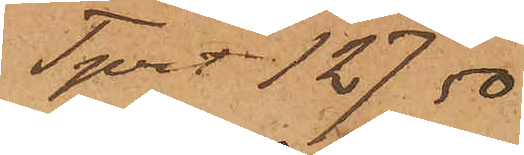Tprt. 127,50
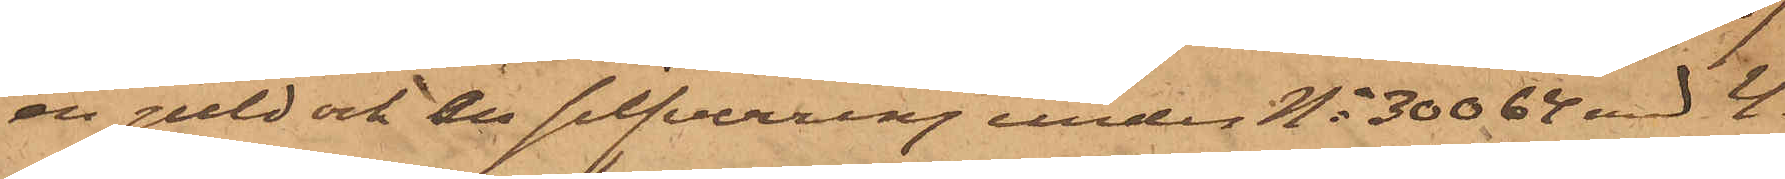en guld och en silfverring under No 30064 med 4
